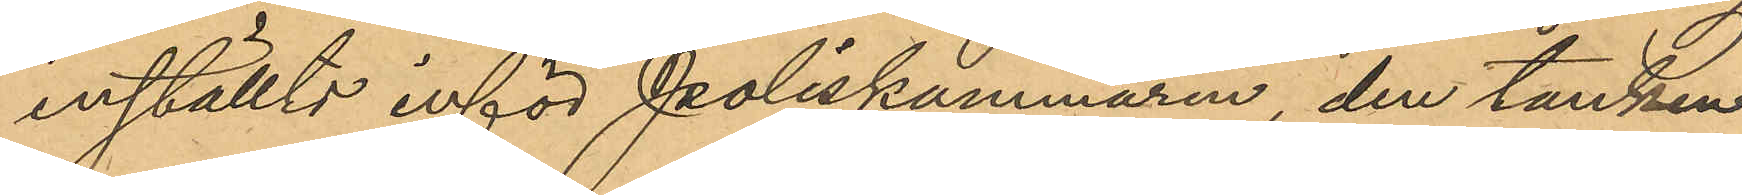inställts inför Poliskammaren, den tanken
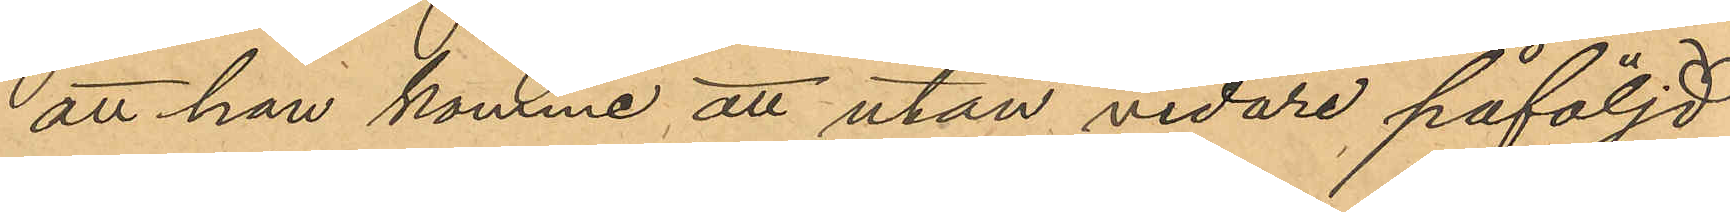att han komme att utan vidare påföljd
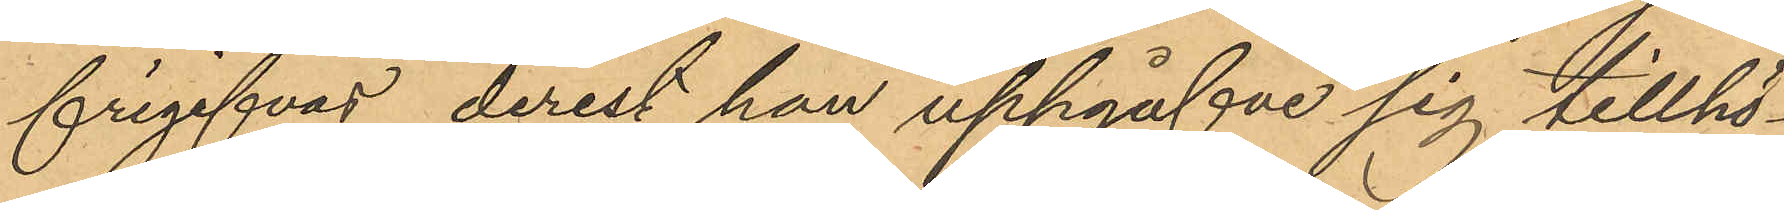frigifvas, derest han uppgifve sig tillhö¬
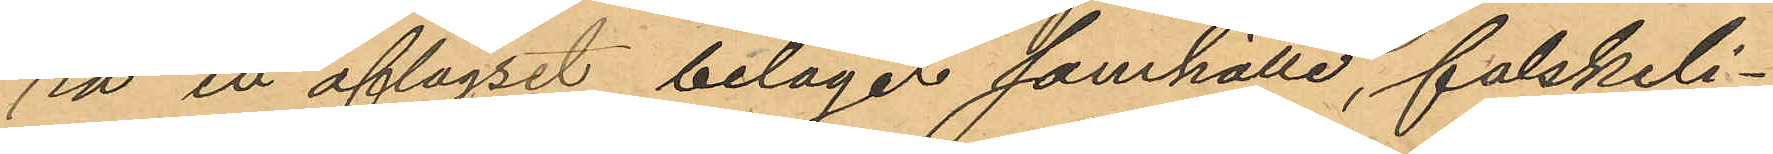ra ett aflägset beläget samhälle, falskeli¬
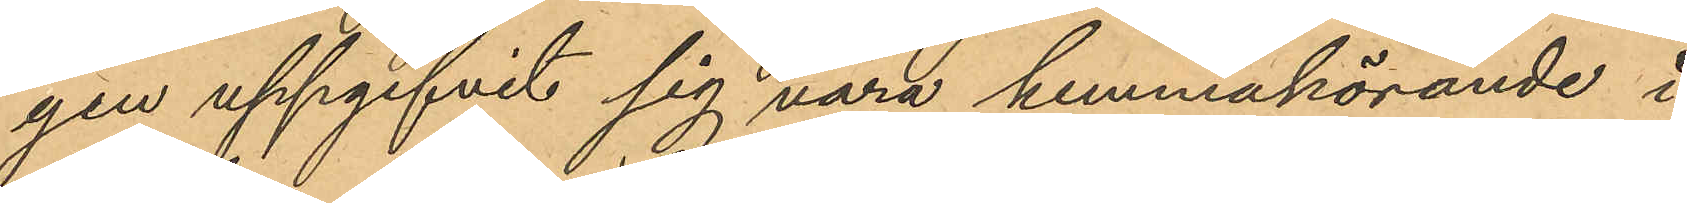gen uppgifvit sig vara hemmahörande i
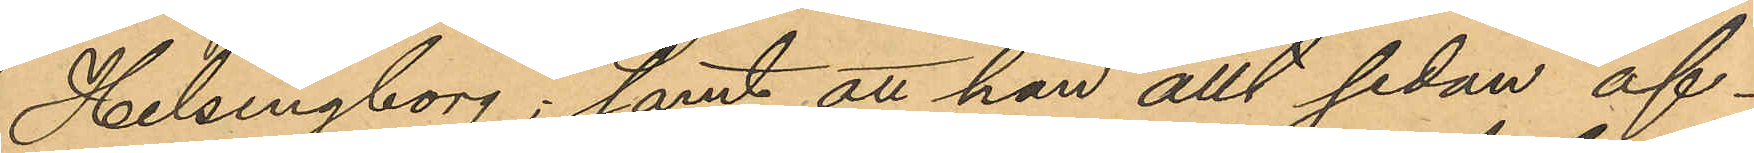Helsingborg; samt att han allt sedan af¬
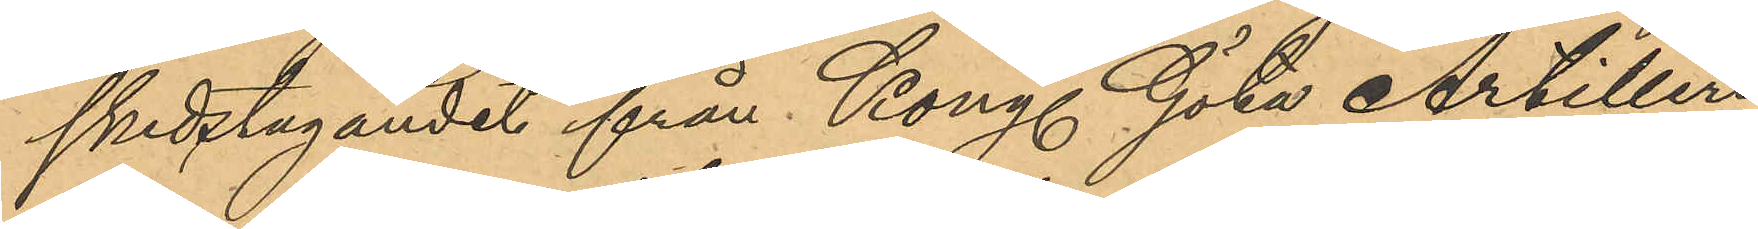skedstagandet från Kongl. Göta Artilleri
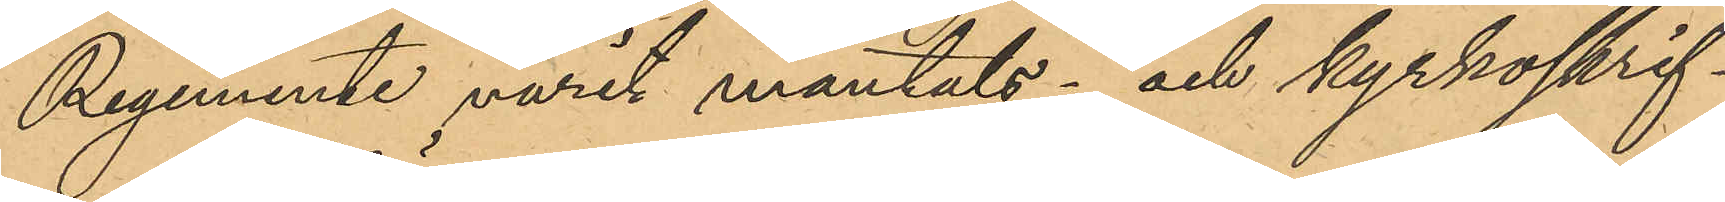Regemente varit mantals- och kyrkoskrif¬
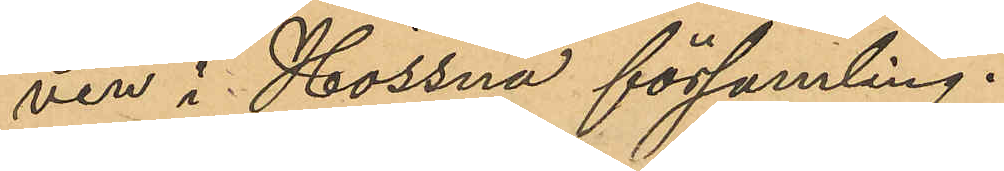ven i Hössna församling.
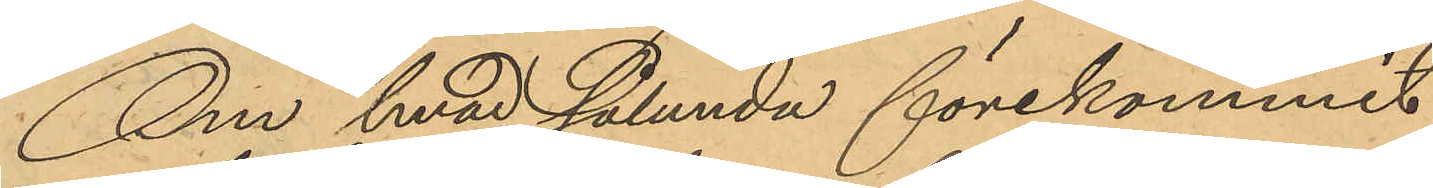Om hvad sålunda förekommit
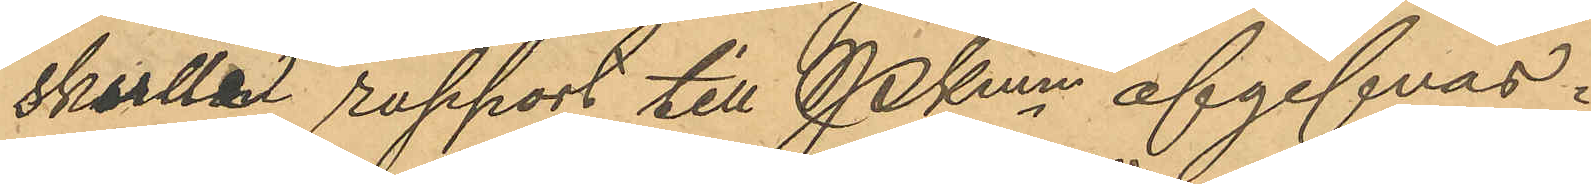skulle rapport till Pkmn afgifvas.
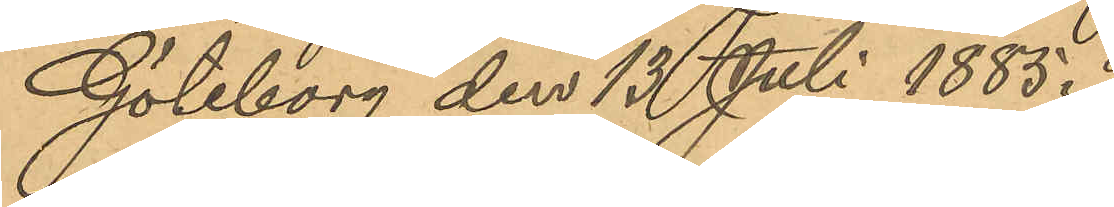Göteborg den 13 Juli 1885.
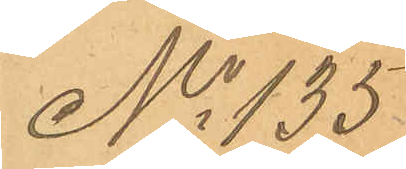No 135
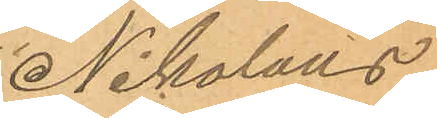Nikolaus
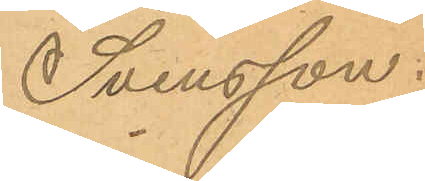Svensson.
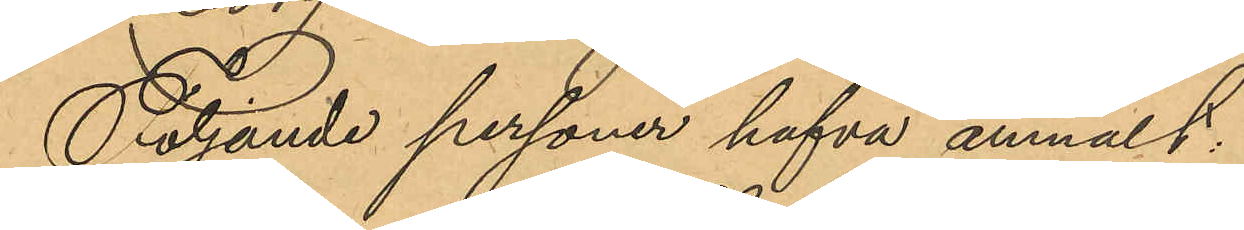Följande personer hafva anmält:
